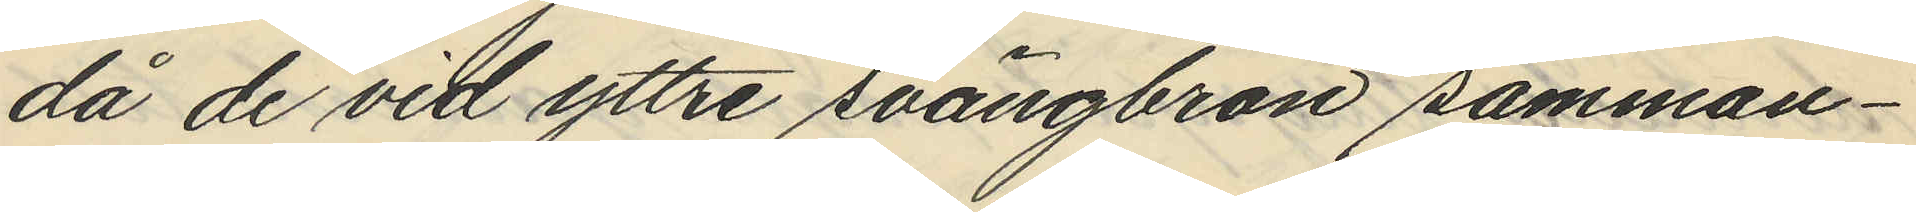då de vid yttre svängbron samman¬
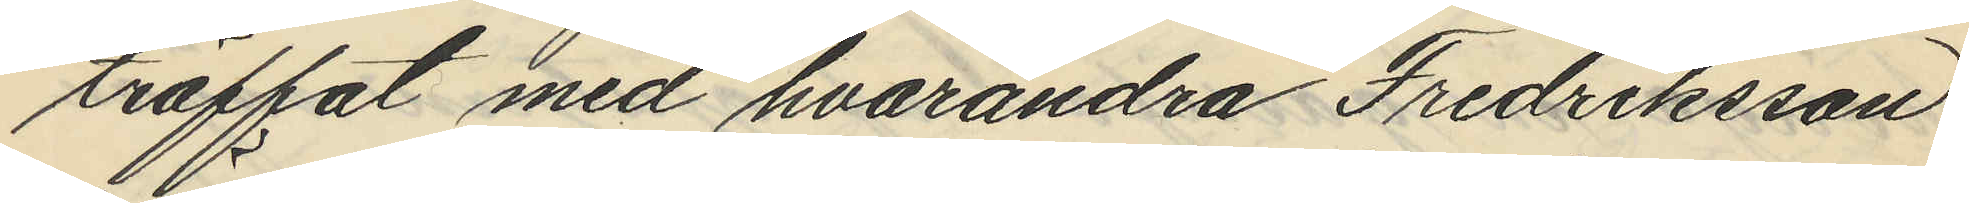träffat med hvarandra Fredriksson
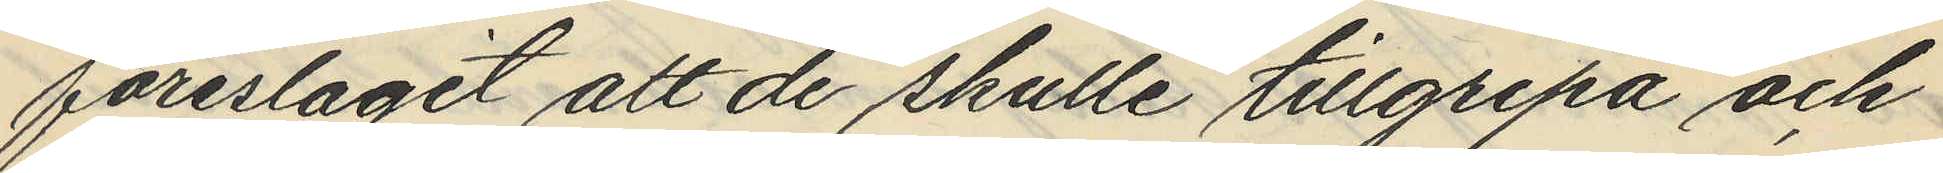föreslagit att de skulle tillgripa och
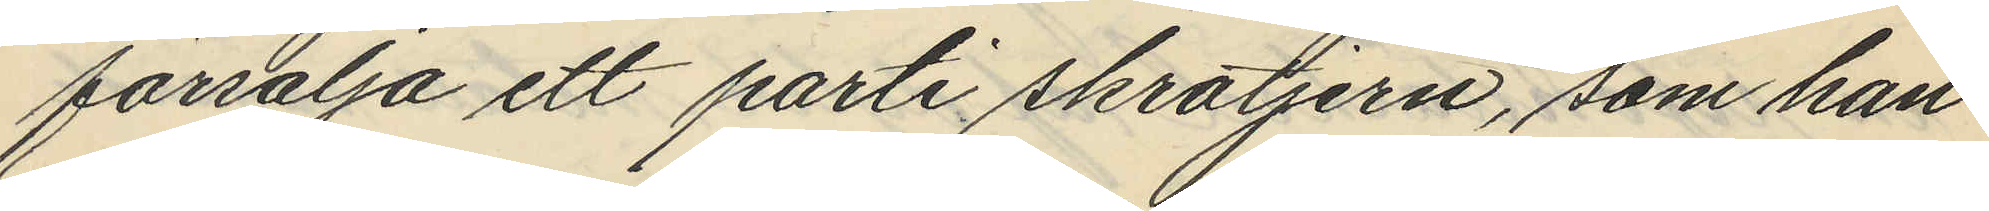försälja ett parti skrotjern, som han
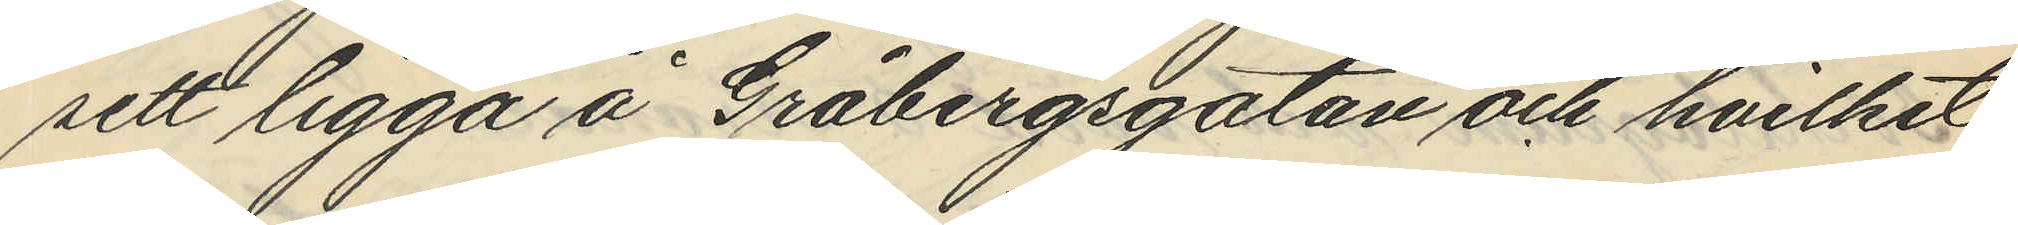sett ligga å Gråbergsgatan och hvilket
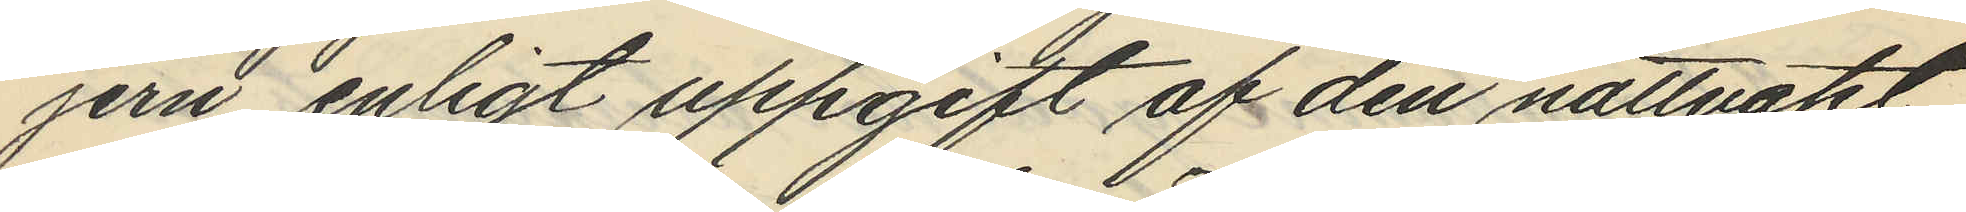jern enligt uppgift af den nattvakt
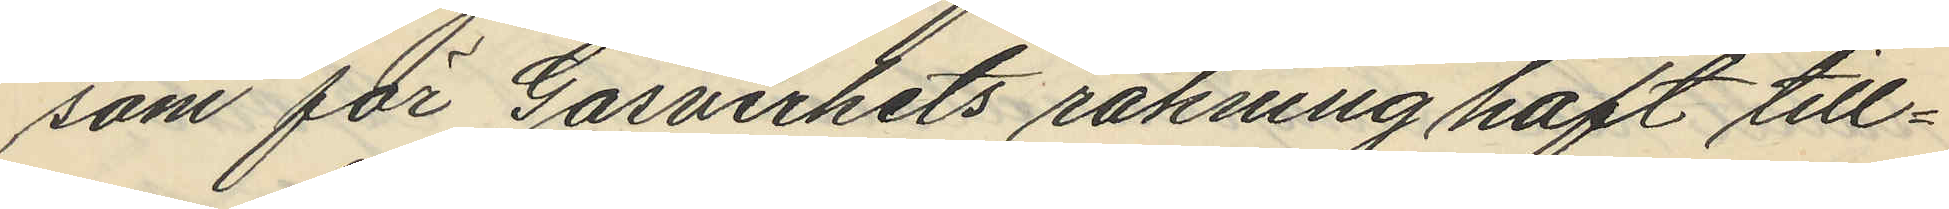som för Gasverkets räkning haft till¬
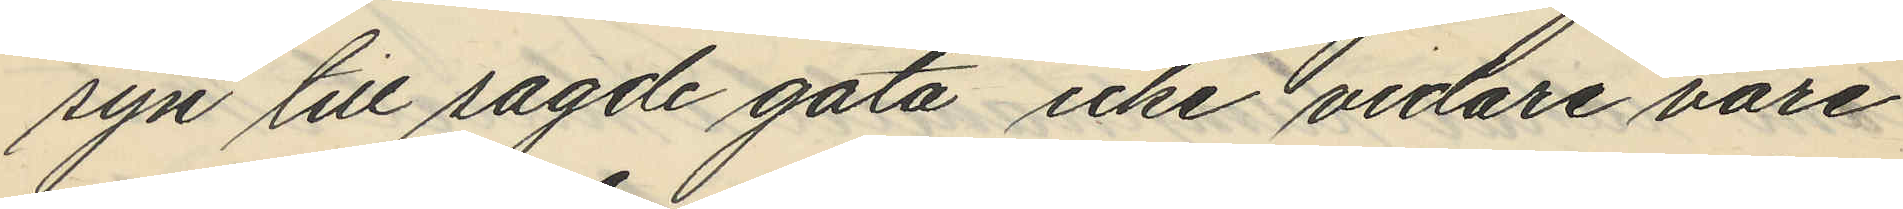syn till sagde gata icke vidare vore
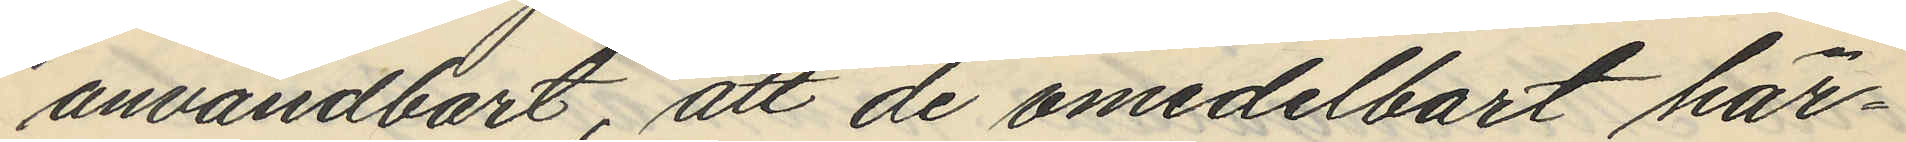användbart, att de omedelbart här¬
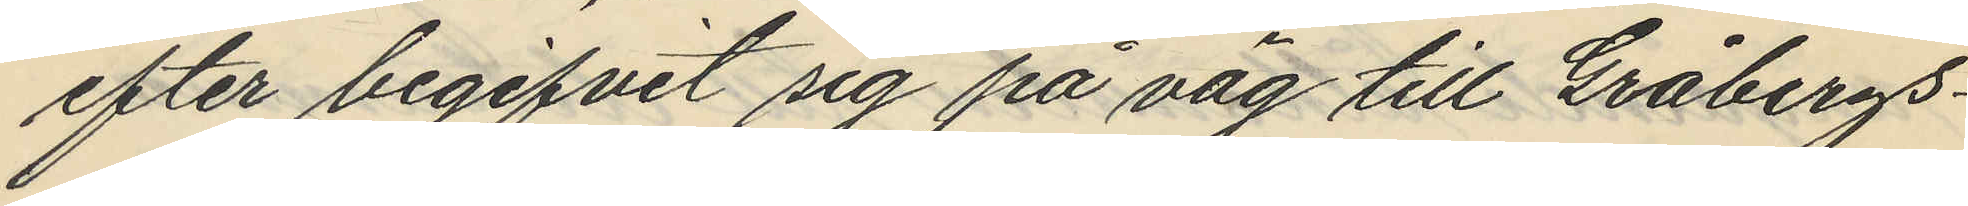efter begifvit sig på väg till Gråbergs¬
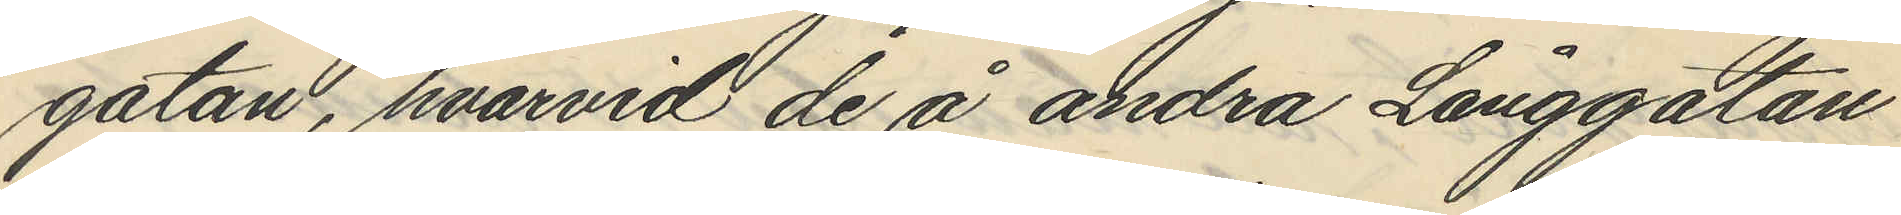gatan, hvarvid de å andra Långgatan
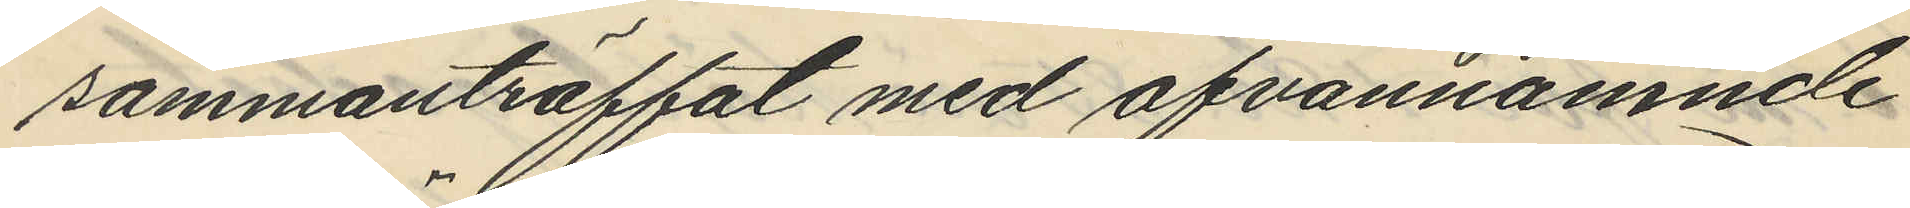sammanträffat med ofvannämnde
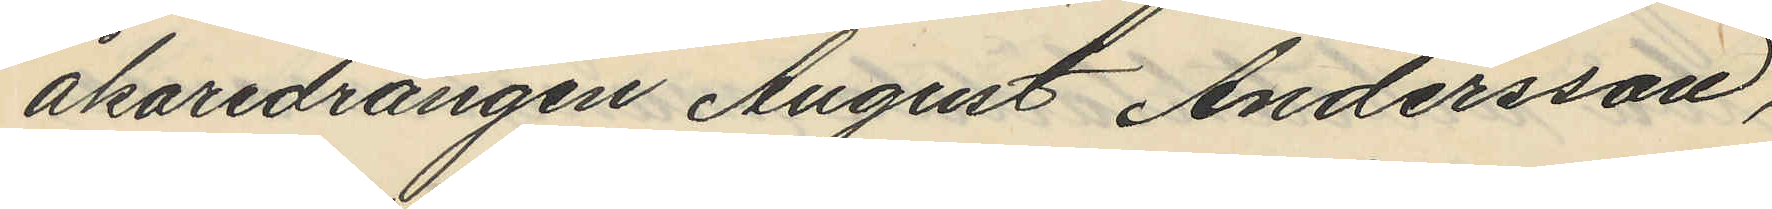åkaredrängen August Andersson,
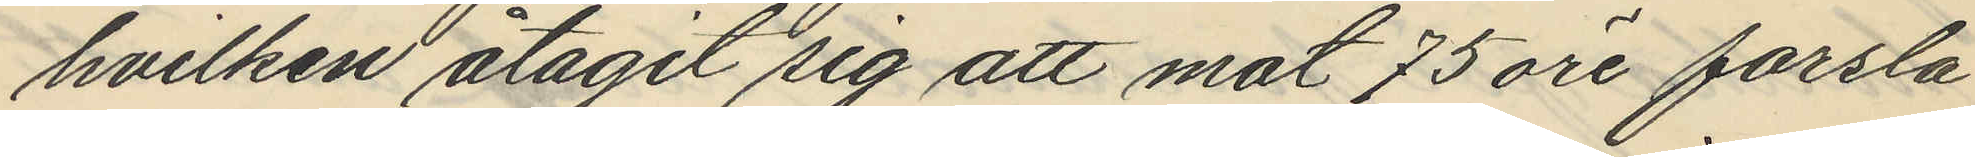hvilken åtagit sig att mot 75 öre forsla
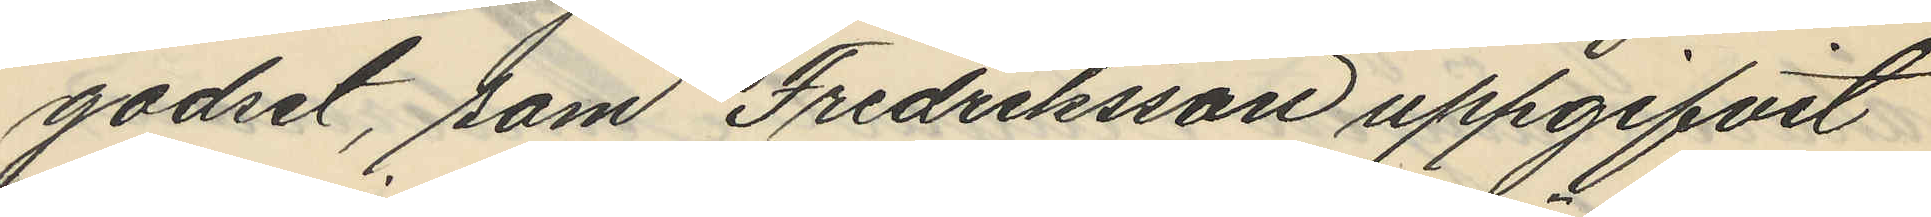godset, som Fredriksson uppgifvit
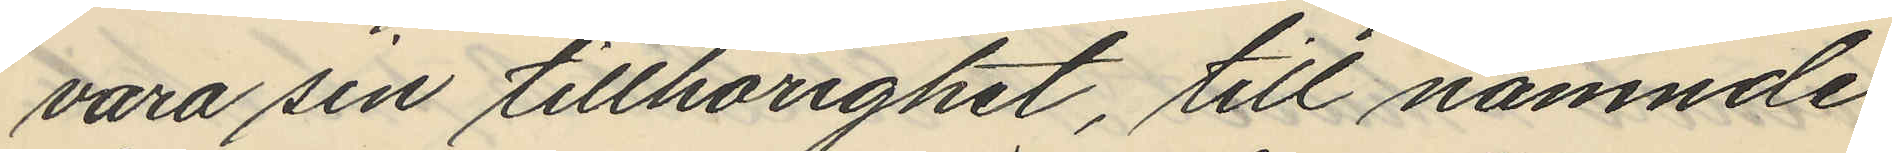vara sin tillhörighet, till nämnde
